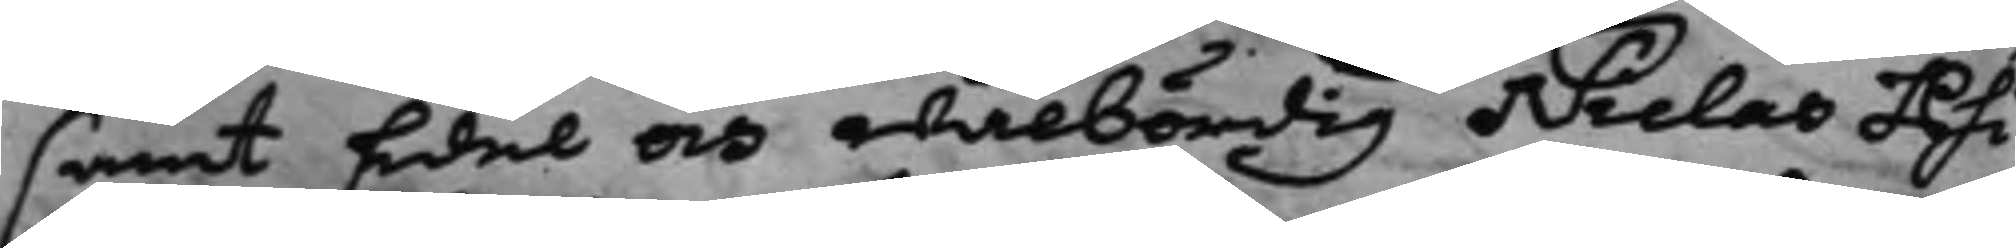samt Edel och wälbördig Niclas Phi¬
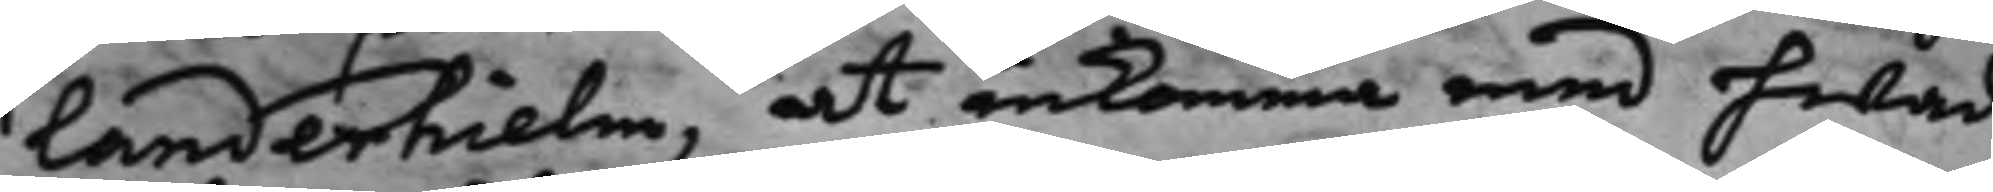landerhielm, at inkomma med hwad
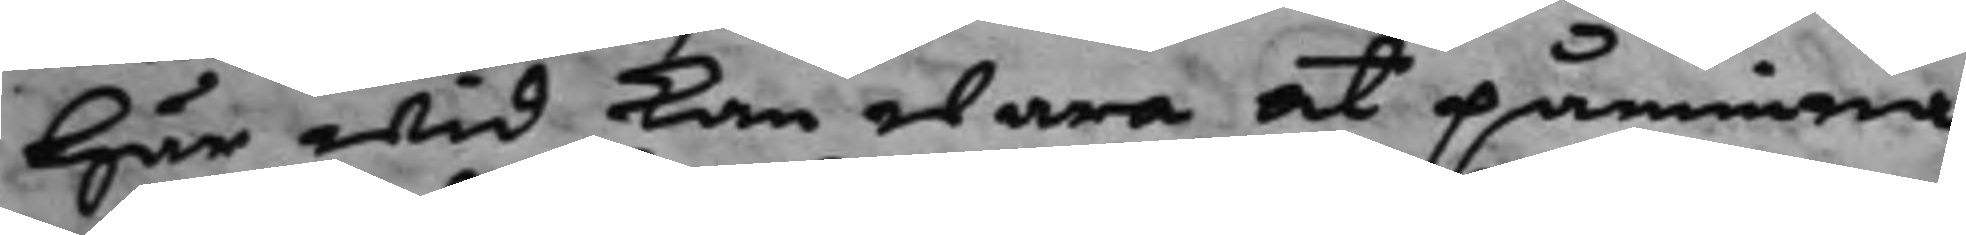här wid kan wara at påminna
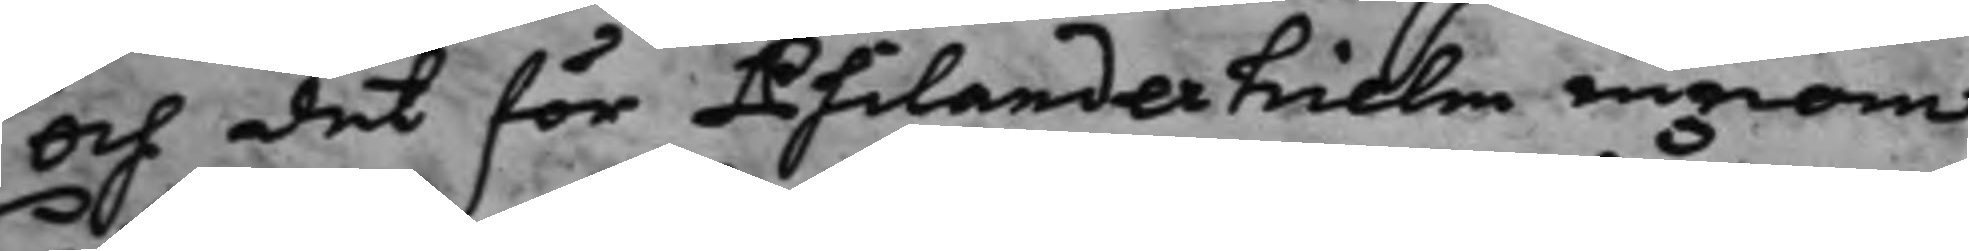Och det för Philanderhielm innom
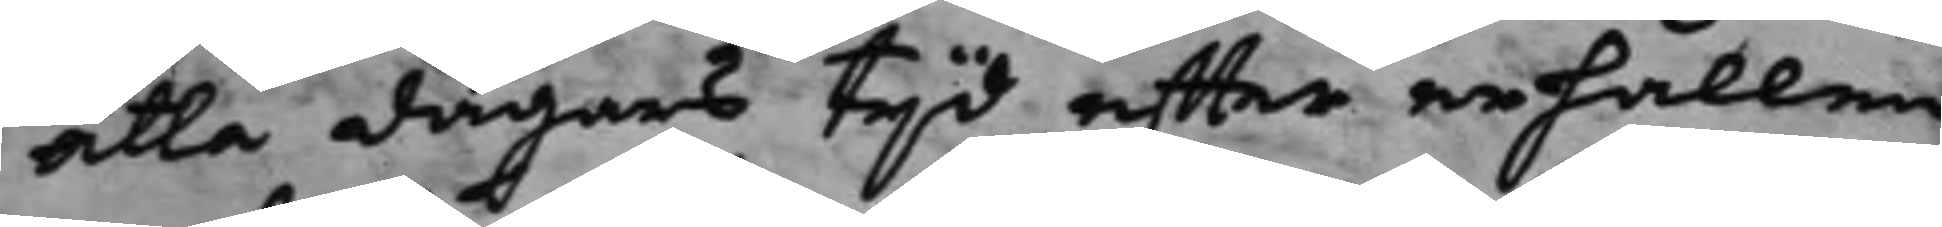åtta dagars tijd effter erhållen
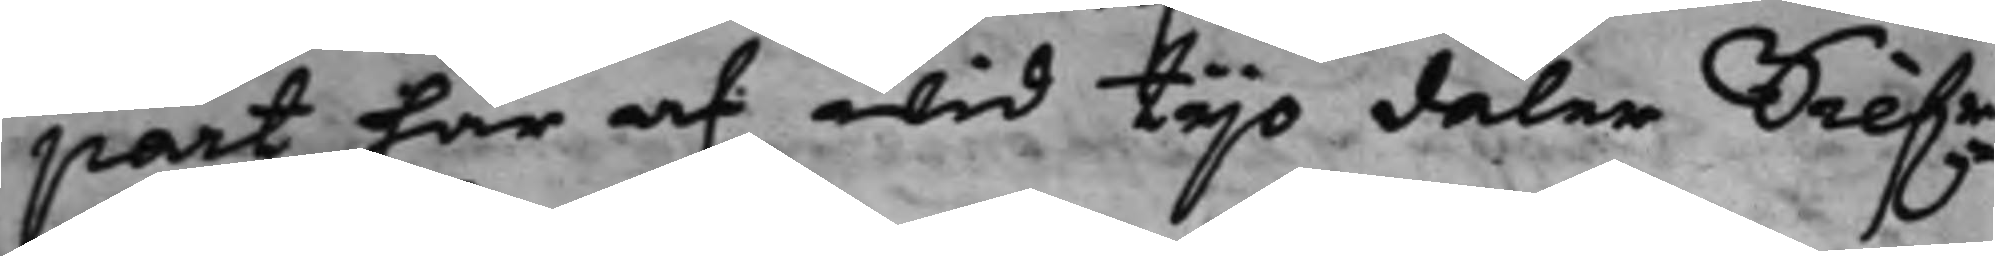part här af wid tijo daler Silf.r¬
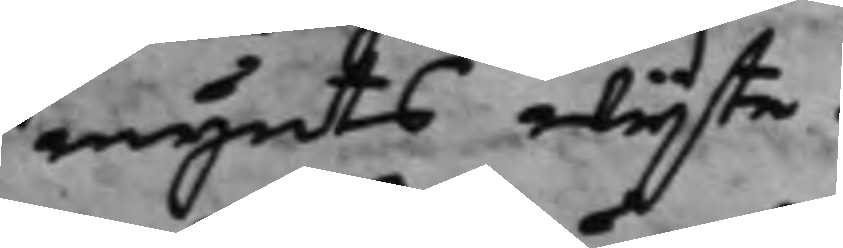mynts wijte.
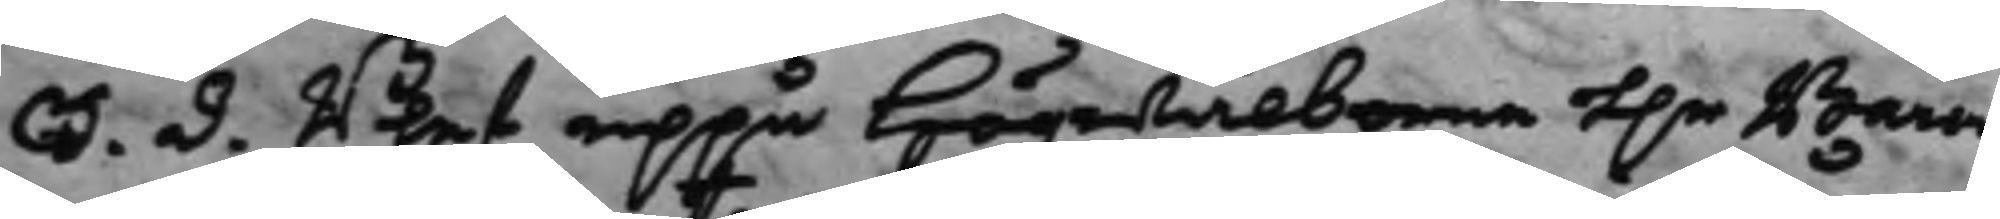S. d. Blef uppå Högwälborne H.r Baron
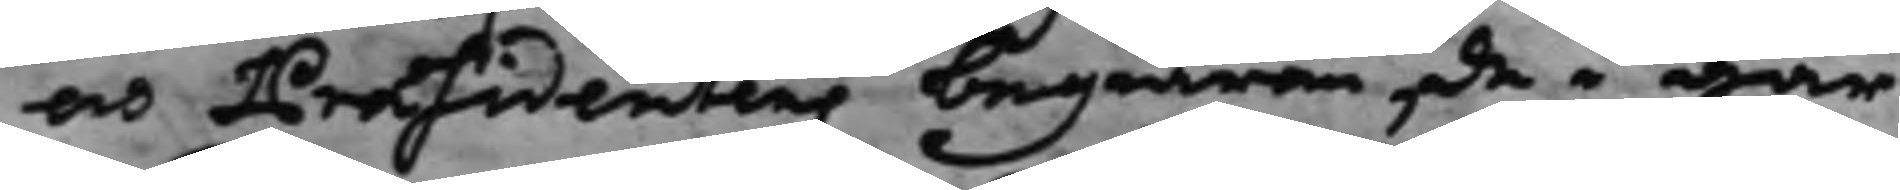och Præsidentens begiäran, de i går
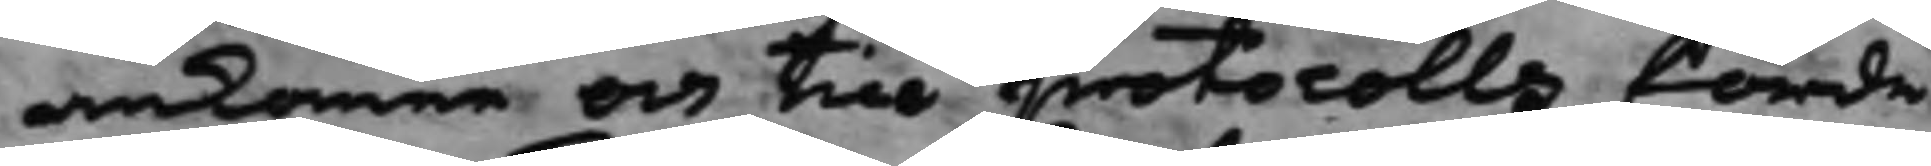ankomne och till protocollo förde
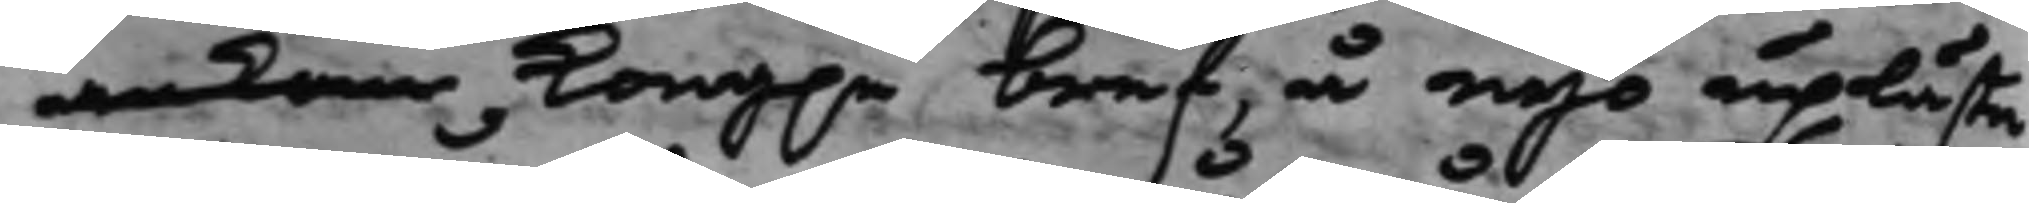ankom Kong.e bref, å nyo uplästa
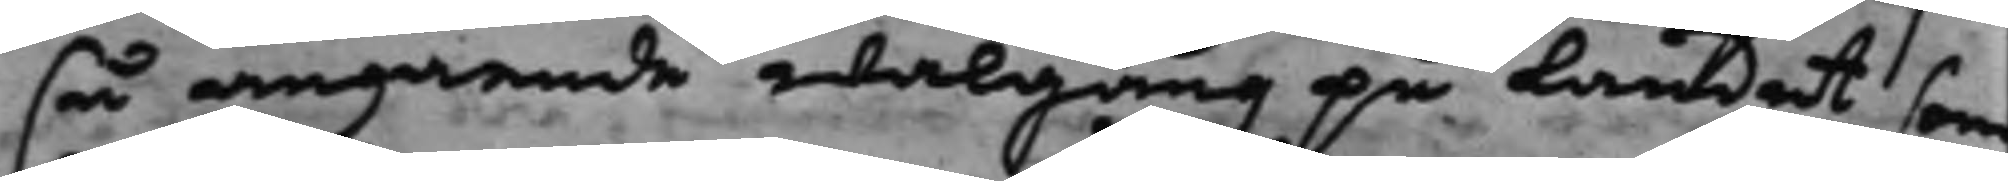så angående walgång på landet som
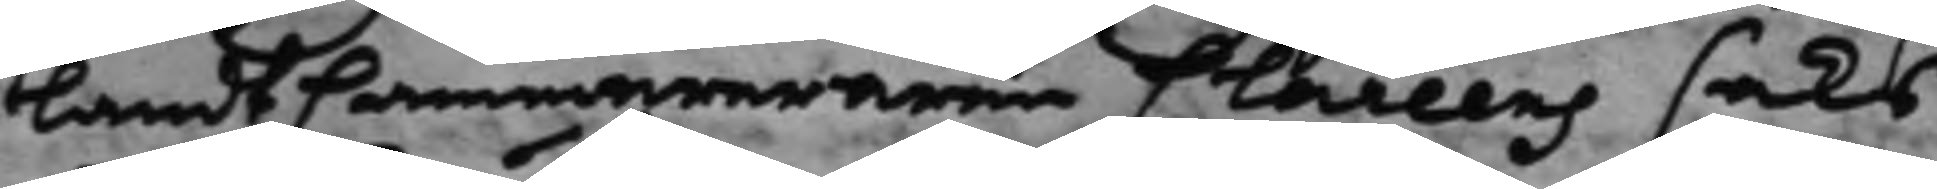LandtCammereraren Clareens saks
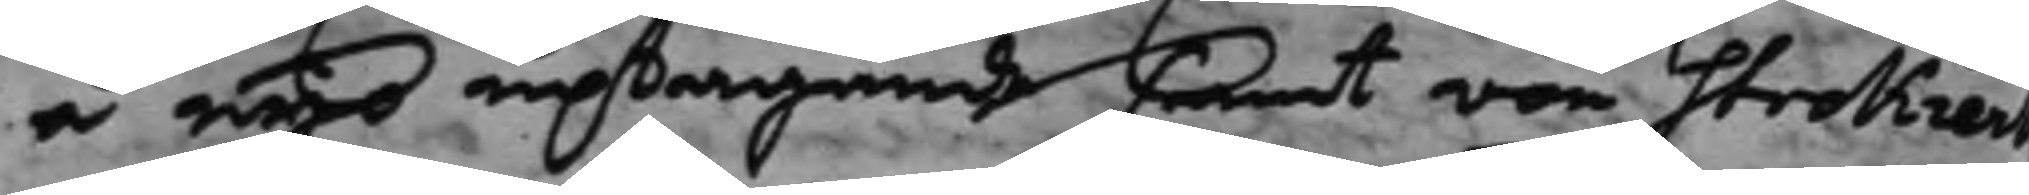å nyo uptagande samt von Strokiers
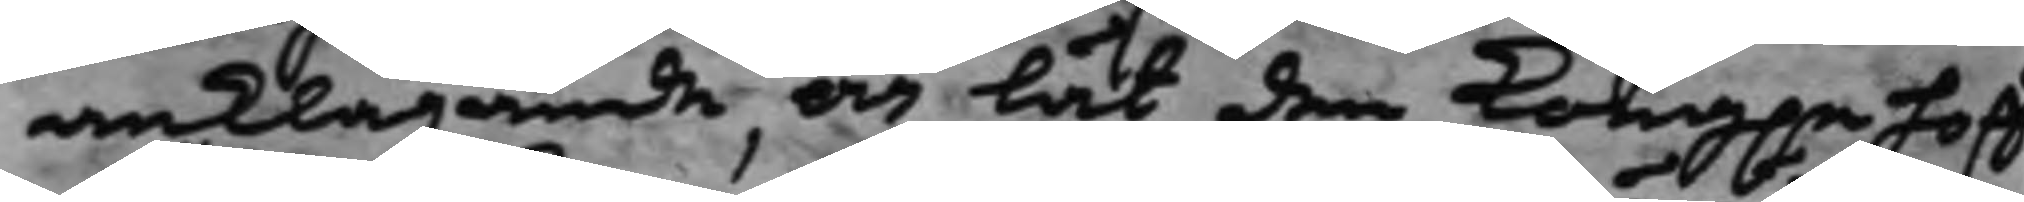anklagande, och lät den Kong.e Hoff¬
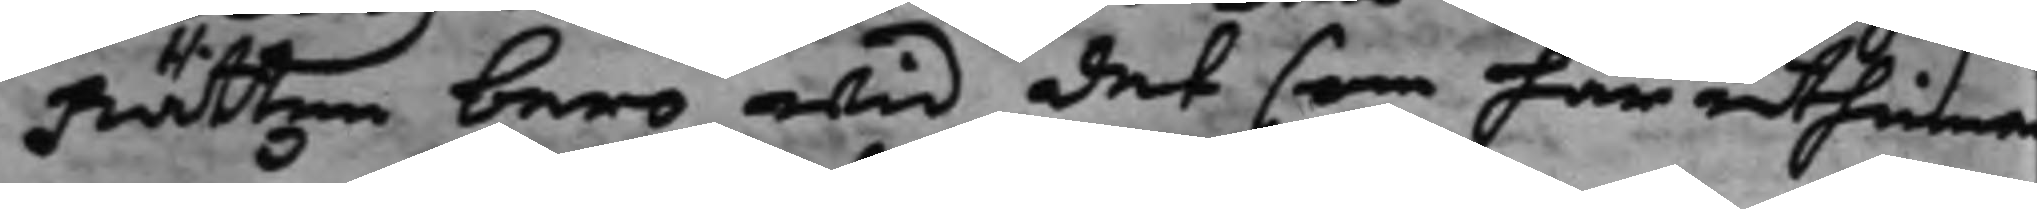Rätten bero wid det som här uthinnan
